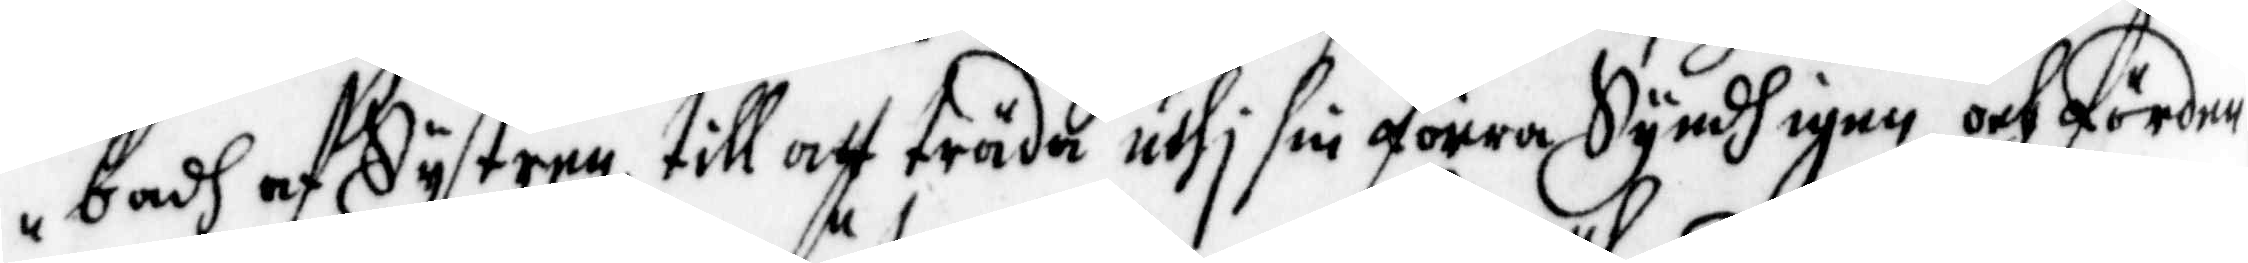badh af Systren till att träda uthi sin förra Syndh igen, och förden¬
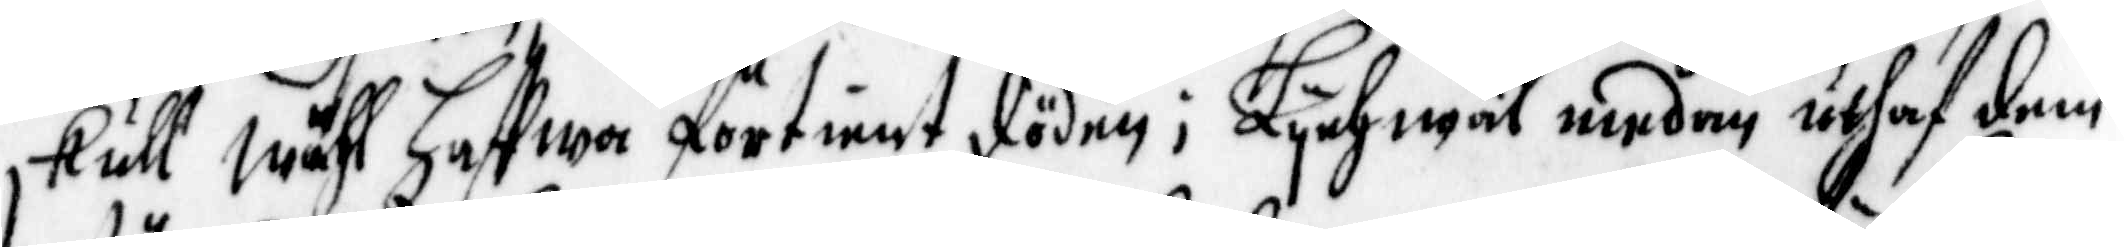skull wähl Haffwa förtient döden ; Lychwäl medan uthaf dem
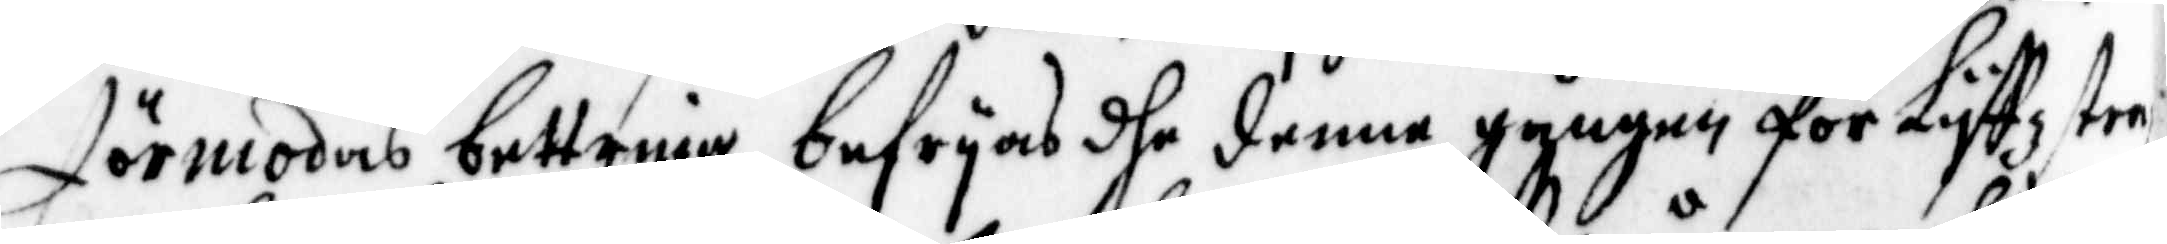förmodas bettring, befryas dhe denne gången för Lyffz stra¬
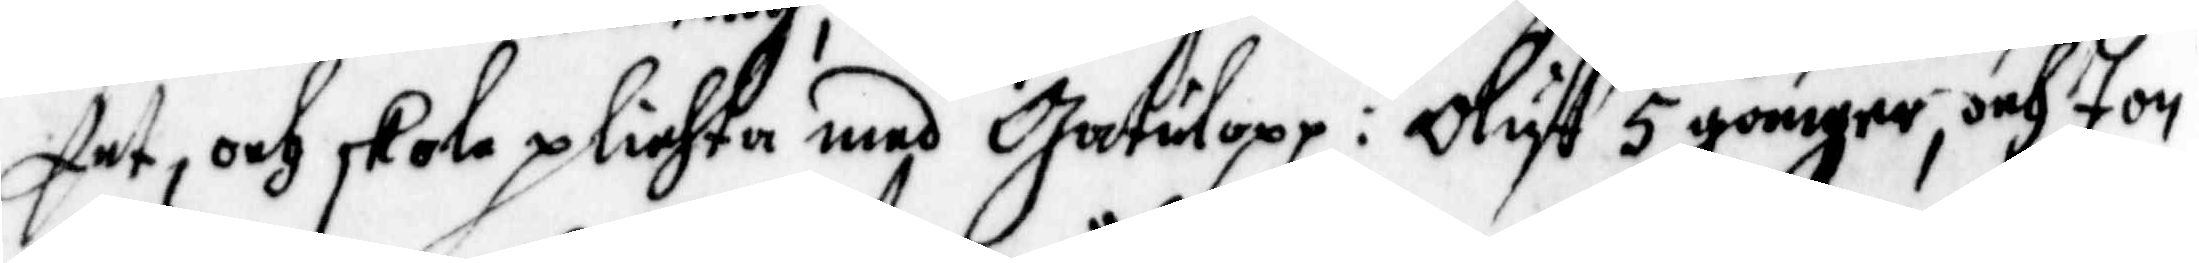fet, och skola plichta med Gatulopp: Oloff 5 gånger, och Jon
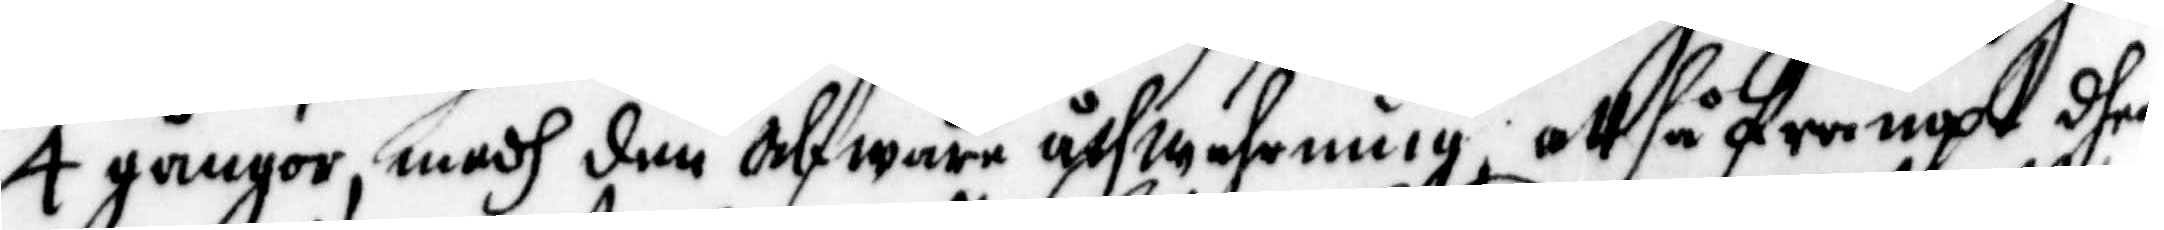4 gångor, medh den alfware åthwahrning, att så frampt dhe
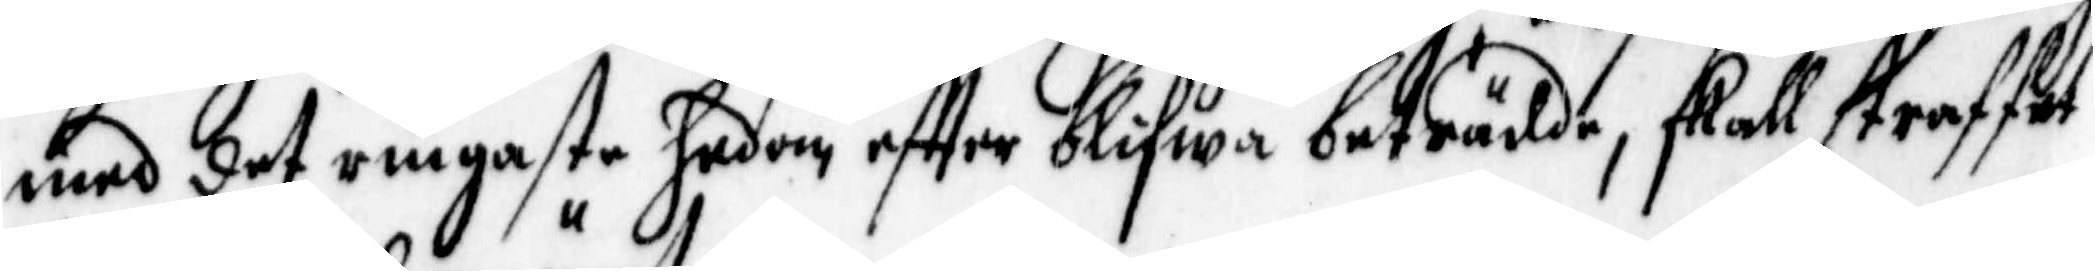med det ringaste hedom effter blifwa beträdde, skall straffet
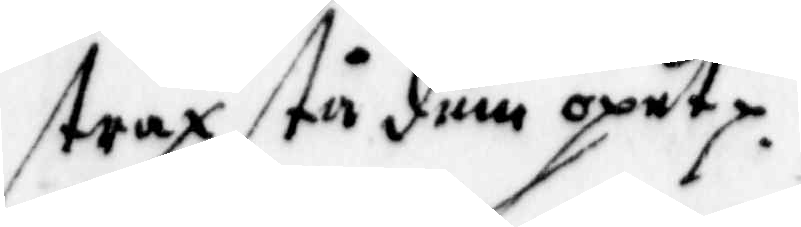strax stu dem öpet.
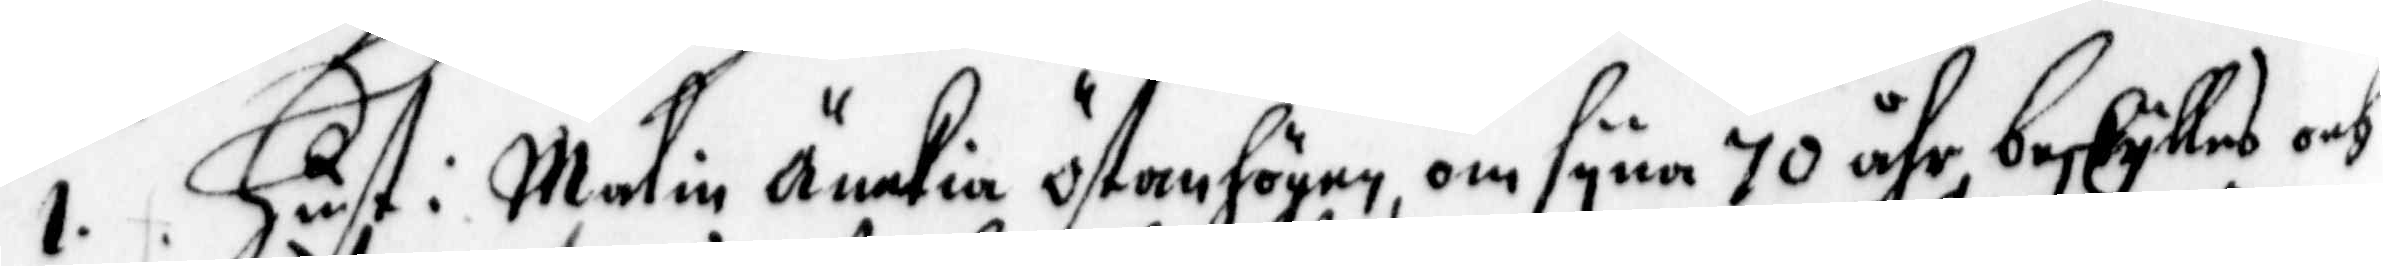1. Hust.: Målin Änckia östanhögen, om syna 70 åhr beskyllas och
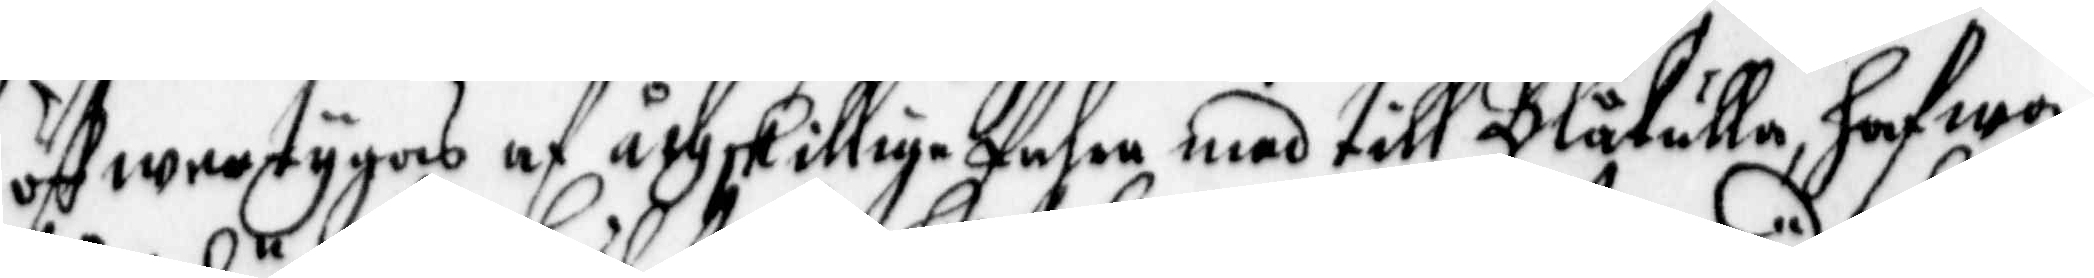öffwertygas af åthskillige fahre med till Blåkulla, hafwa
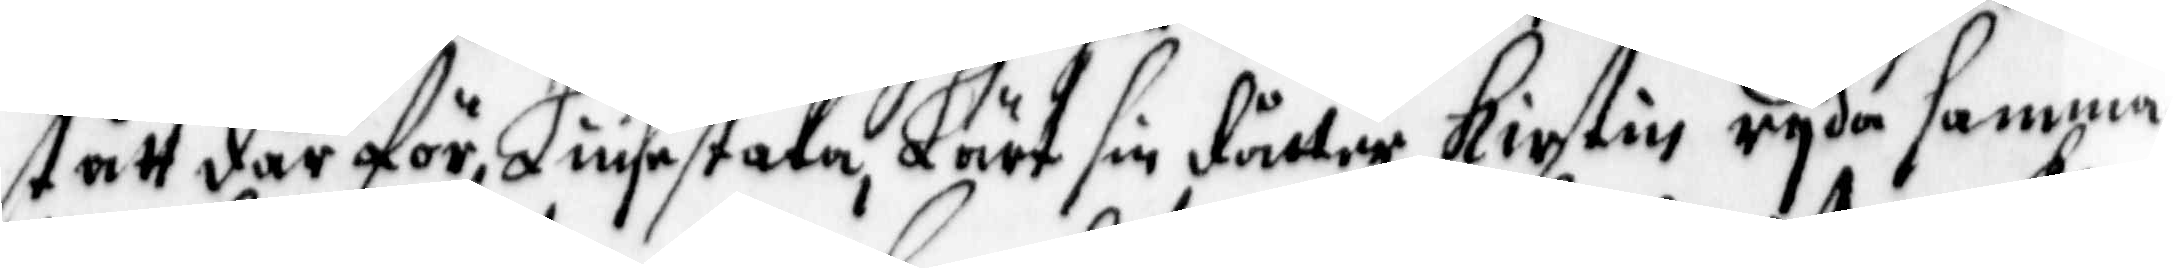stått där för Liusestaka, Lärt sin dåtter Kirstin ryda samma
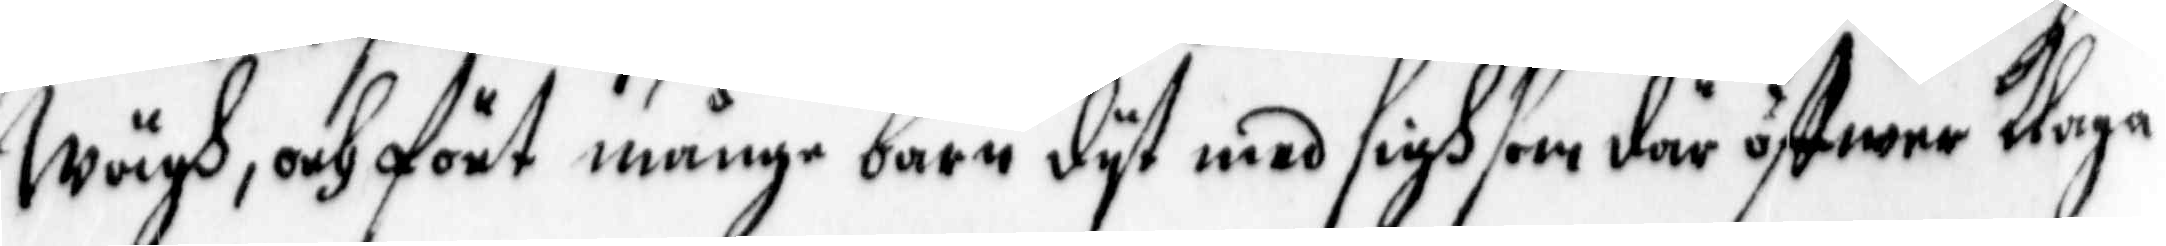Wägh, och fört många barn dyt med sigh som där öffwer Klaga
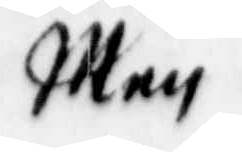Men
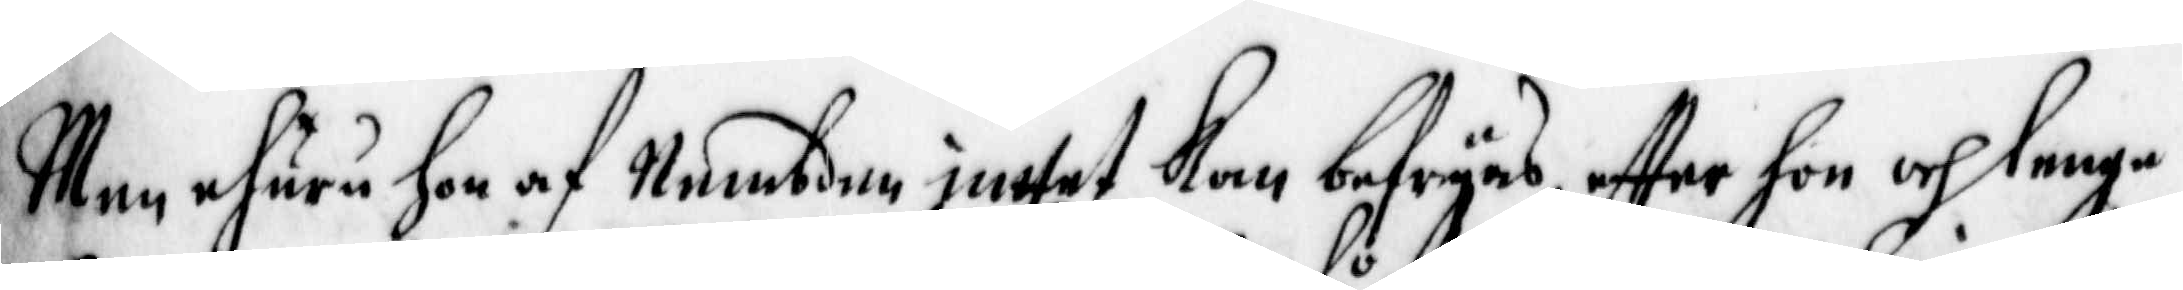Men ehuru hon af Nembden inttet Kan befryas effter hon och lenge
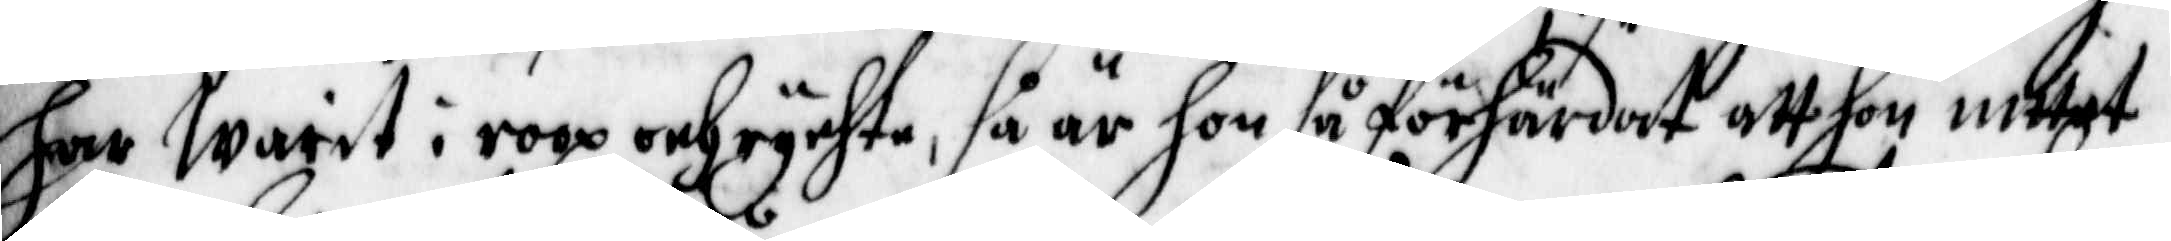har warit i roop och rychte, så är hon så förhärdat att hon intet
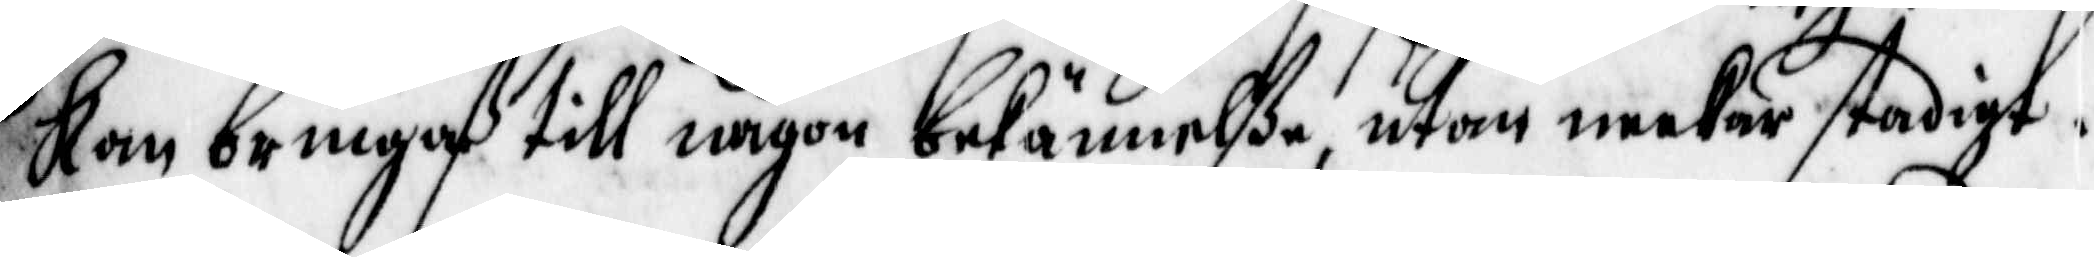Kan bringaß till någon bekännelße, utan neekar stadigt.
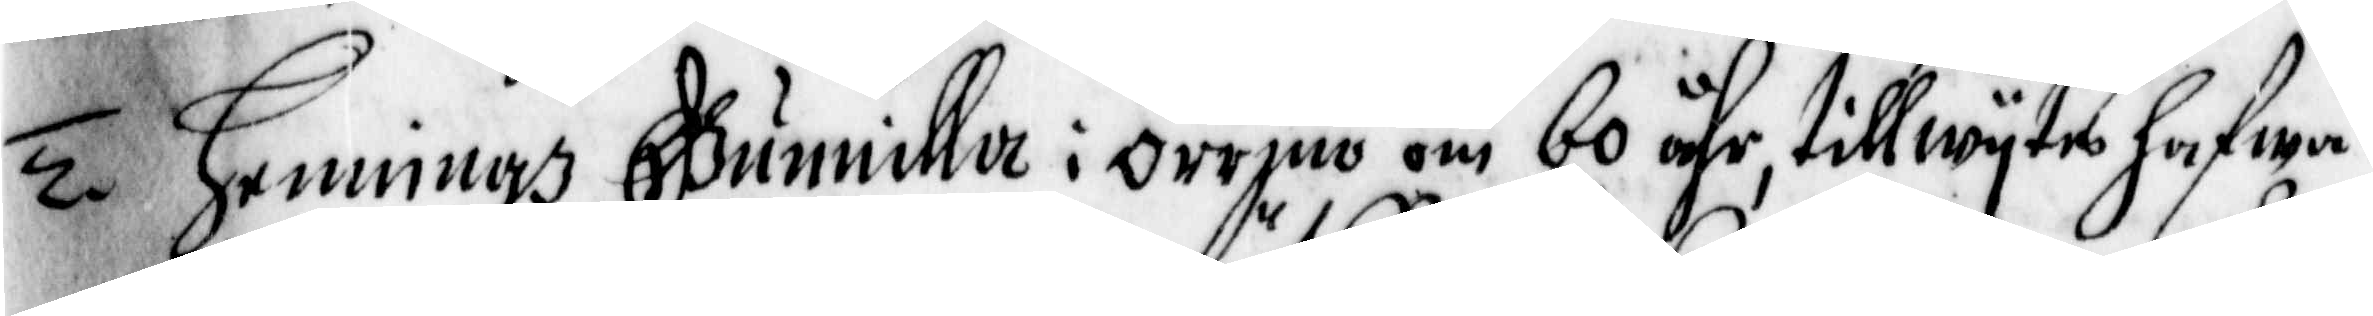2. Henningz Gunnilla i Orrmo om 60 åhr, till wytes hafwa
